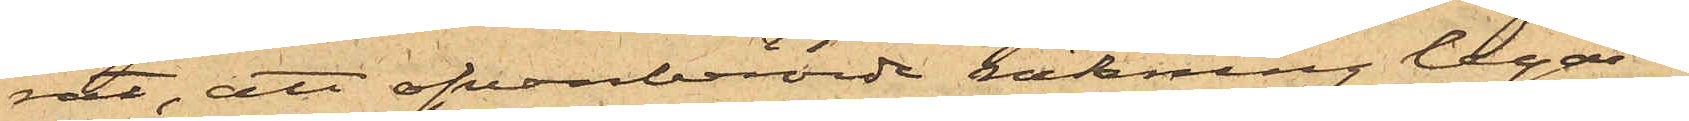rat, att ofvanberörde räkning legat i
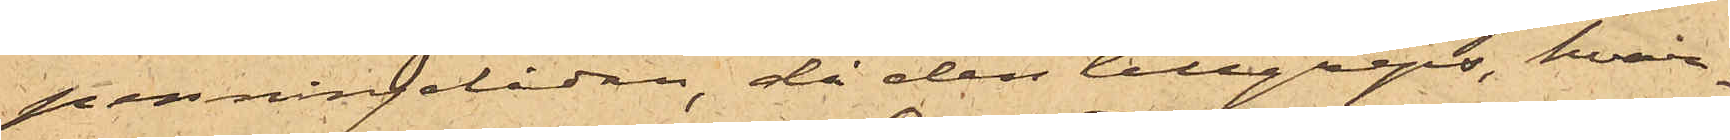penningelådan, då den tillgreps, hvar¬
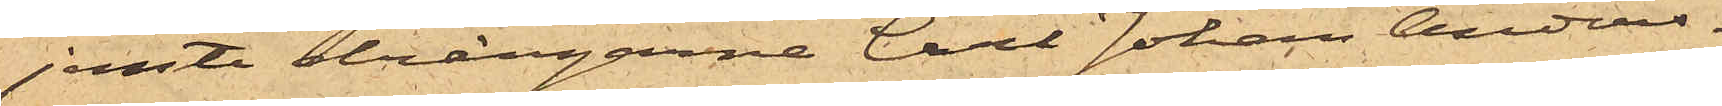jemte drängarne Carl Johan Anders¬
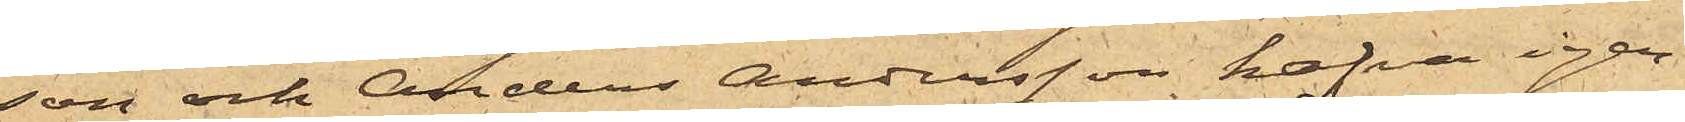son och Anders Andersson hafva igen¬
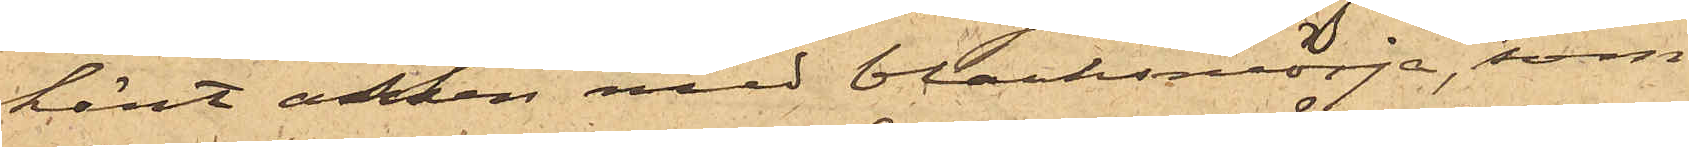känt asken med blanksmörja, som
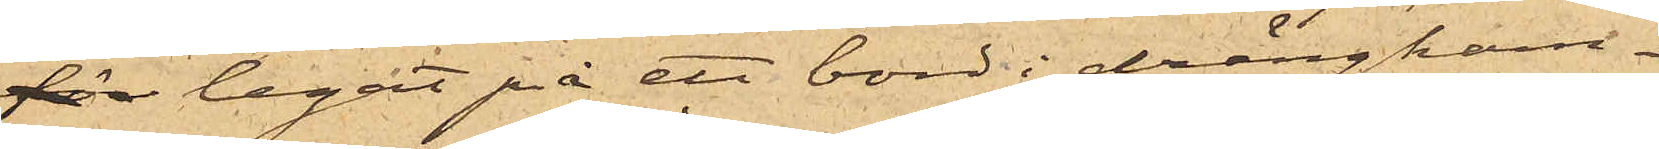för legat på ett bord i drängkam¬
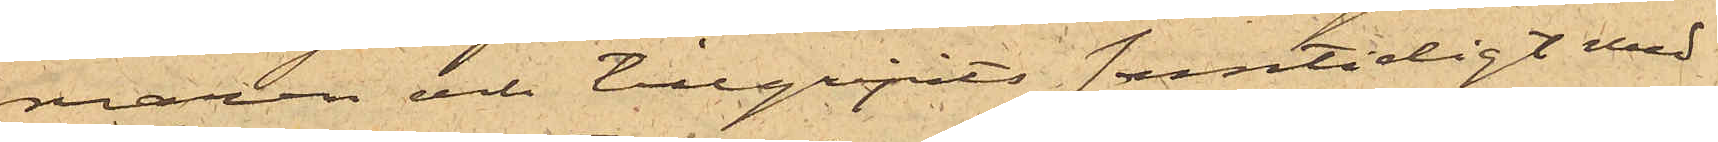maren och tillgripits samtidigt med
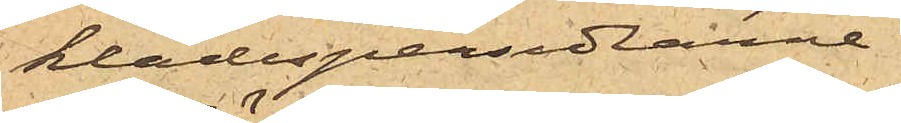klädespersedlarne.
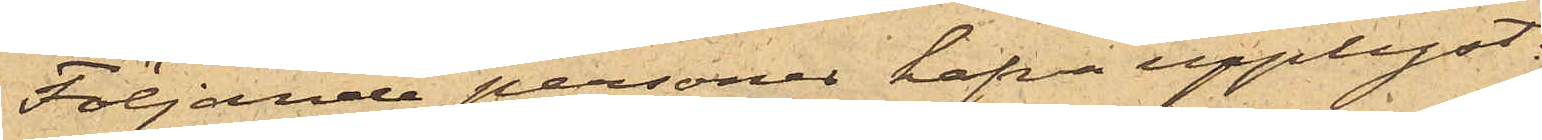Följande personer hafva upplyst:
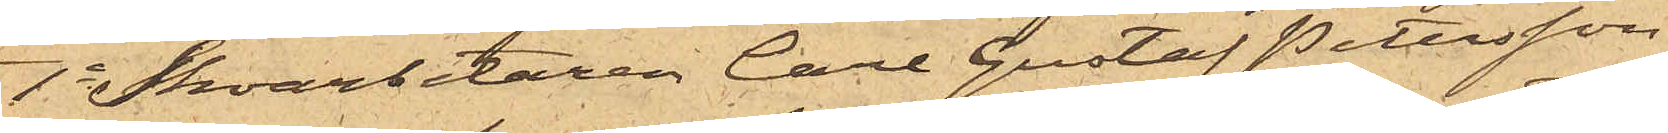1o Skoarbetaren Carl Gustaf Petersson,
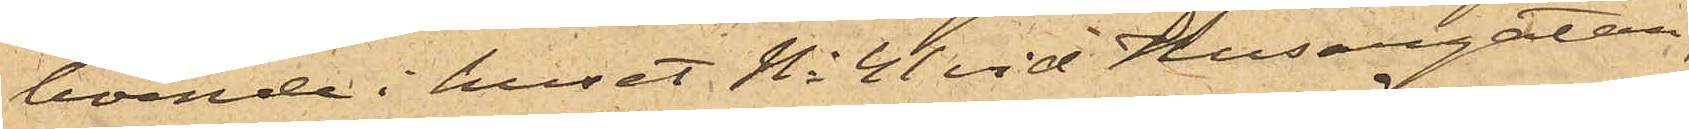boende i huset No 41 vid Husargatan,
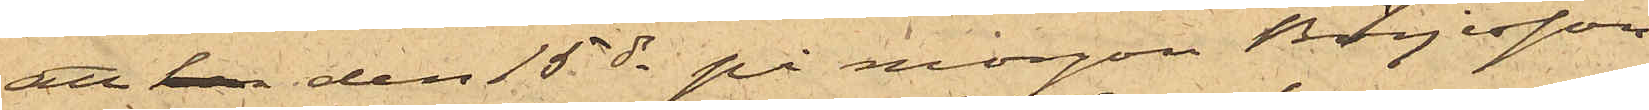att han den 15 ds på morgon Börjesson
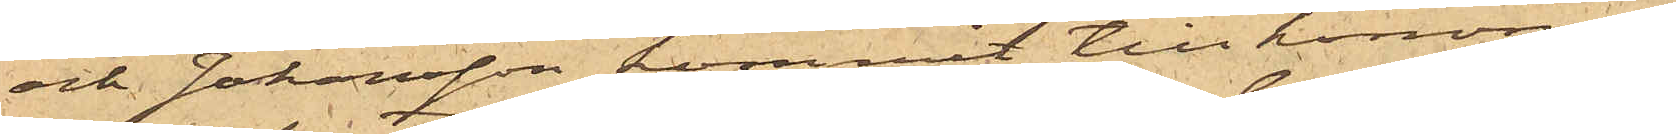och Johansson kommit till honom i
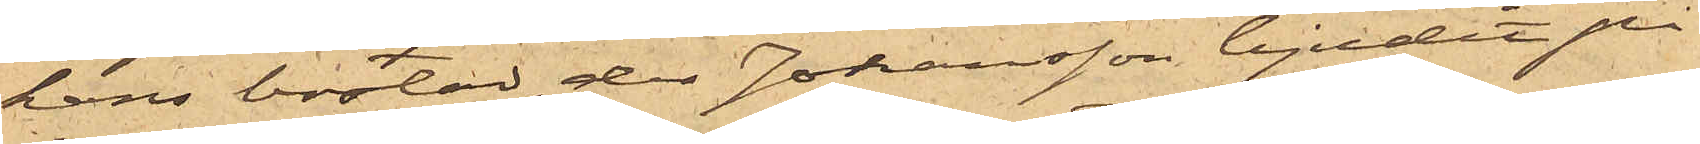hans bostad, der Johansson bjudit på
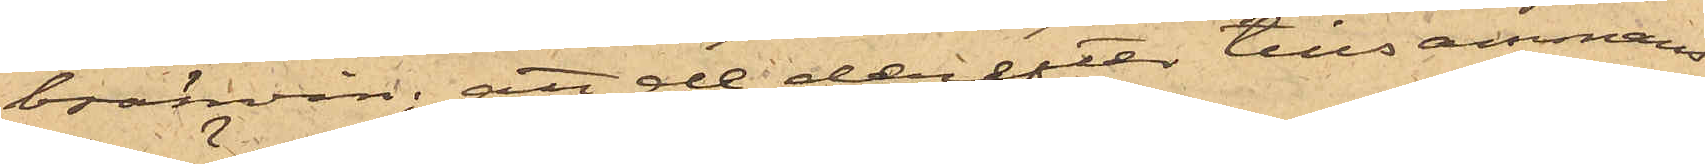bränvin; att de derefter tillsammans
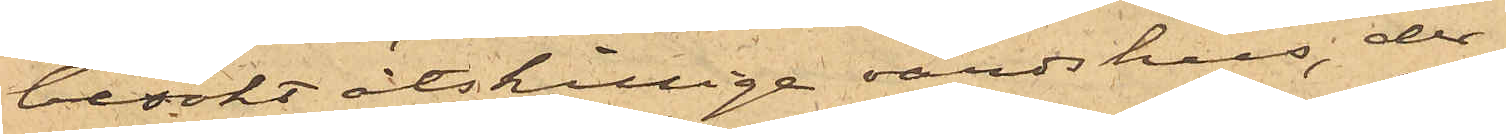besökt åtskillige värdshus, der
